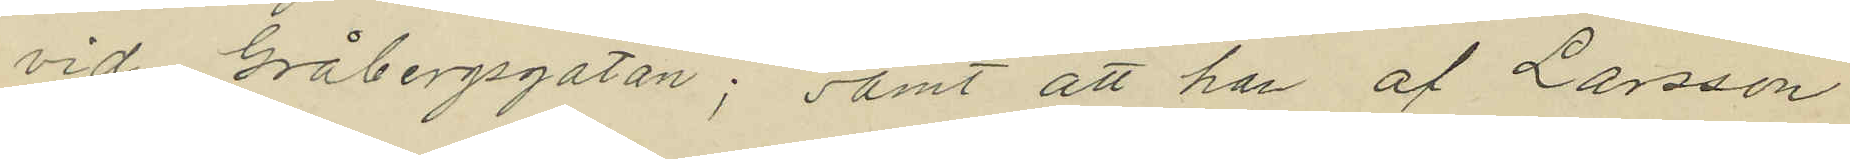vid Gråbergsgatan; samt att han af Larsson
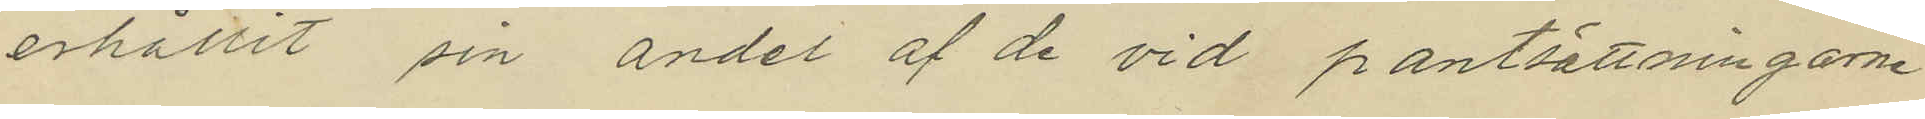erhållit sin andel af de vid pantsättningarne
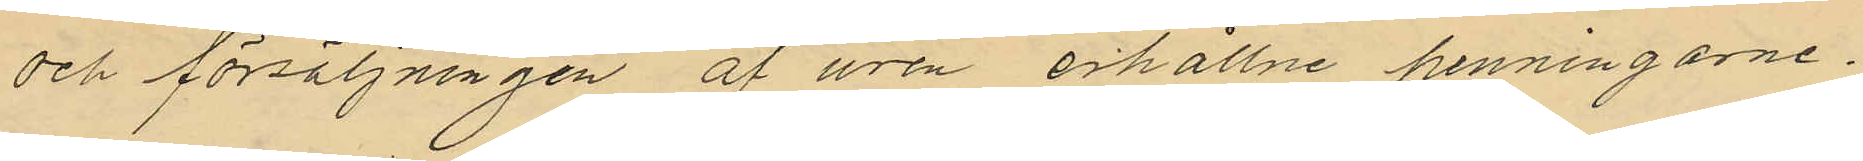och försäljningen af uren erhållne penningarne.
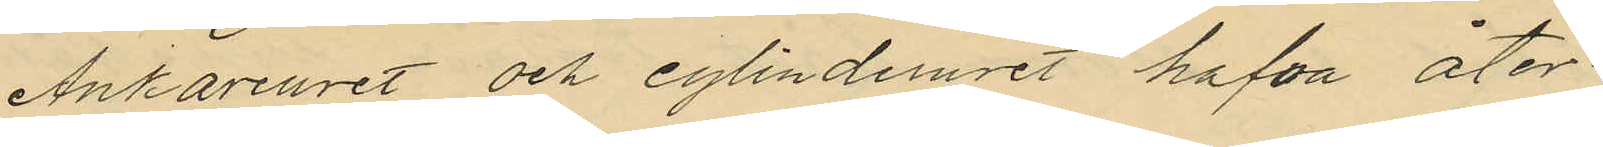Ankareuret och cylinderuret hafva åter¬
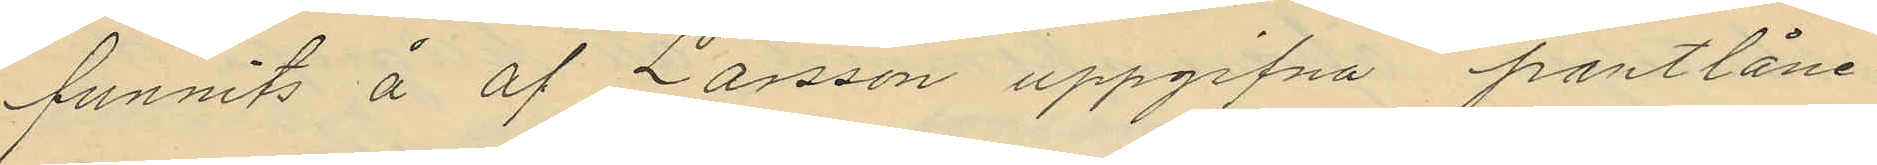funnits å af Larsson uppgifna pantlåne¬
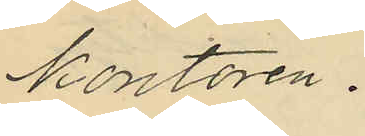kontoren.
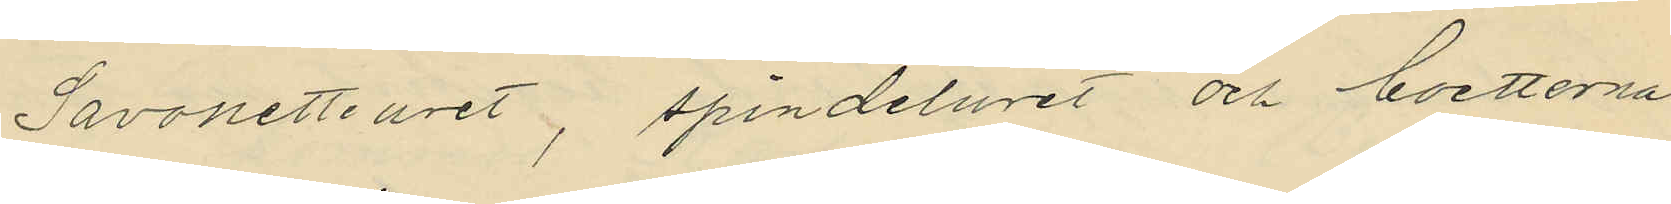Savonetteuret, spindeluret och boetterna
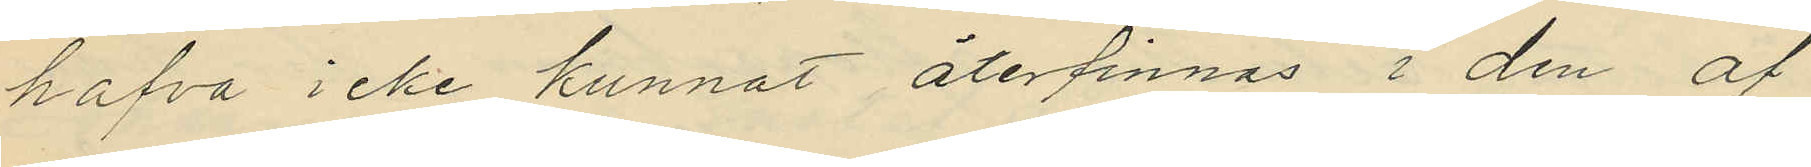hafva icke kunnat återfinnas i den af
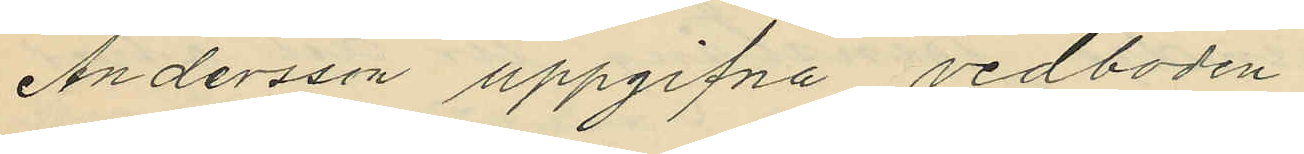Andersson uppgifna vedboden
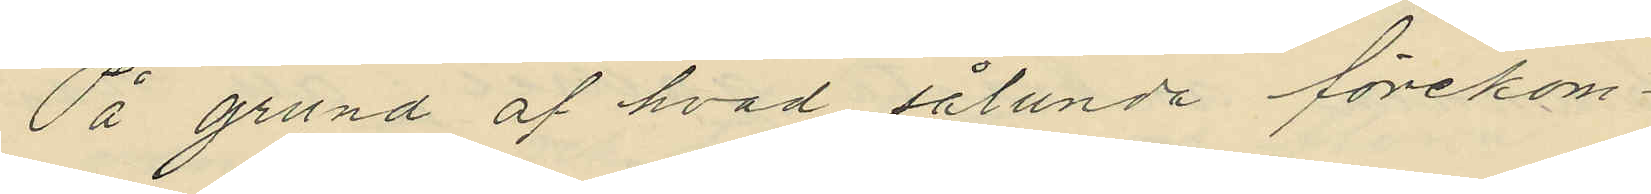På grund af hvad sålunda förekom¬
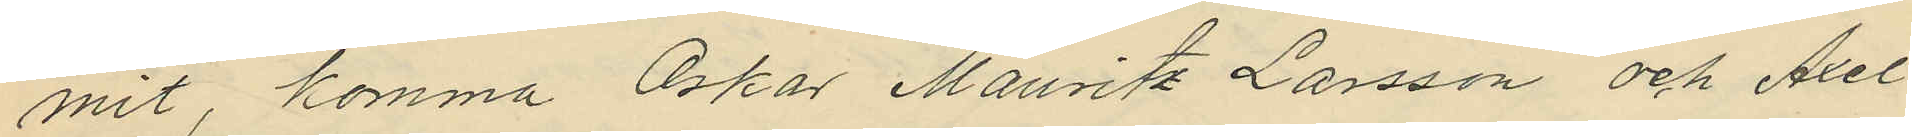mit, komma Oskar Mauritz Larsson och Axel
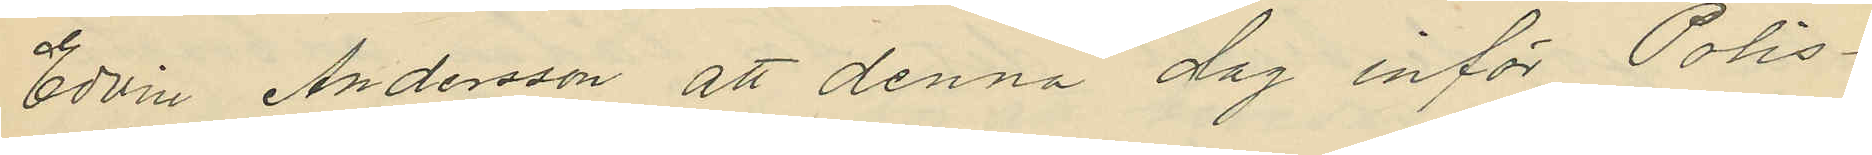Edvin Andersson att denna dag inför Polis¬
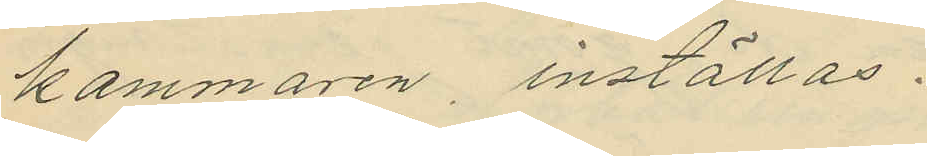kammaren, inställas.
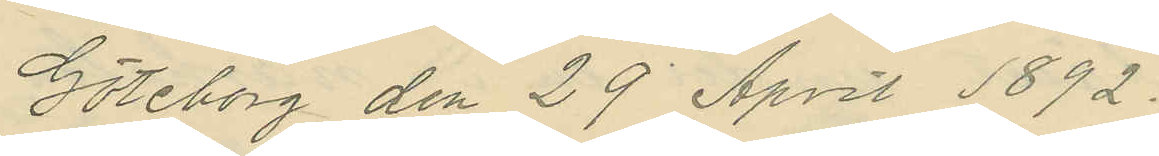Göteborg den 29 April 1892.
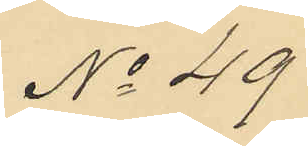No 49
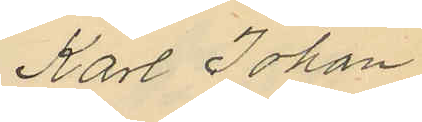Karl Johan
